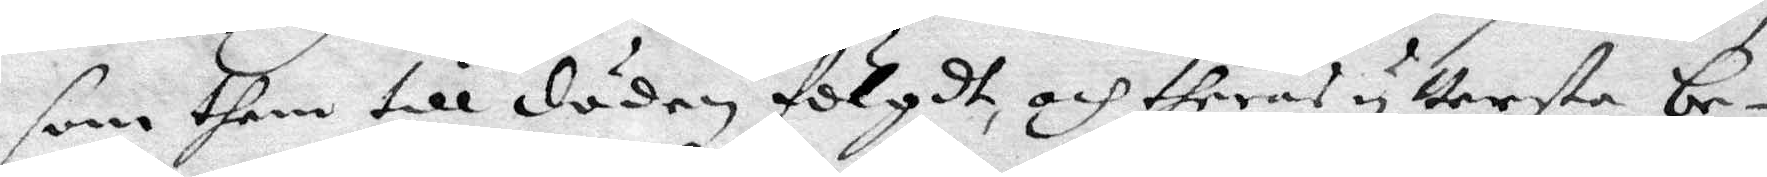som them till döden fölgdt, och theras yttersta be¬
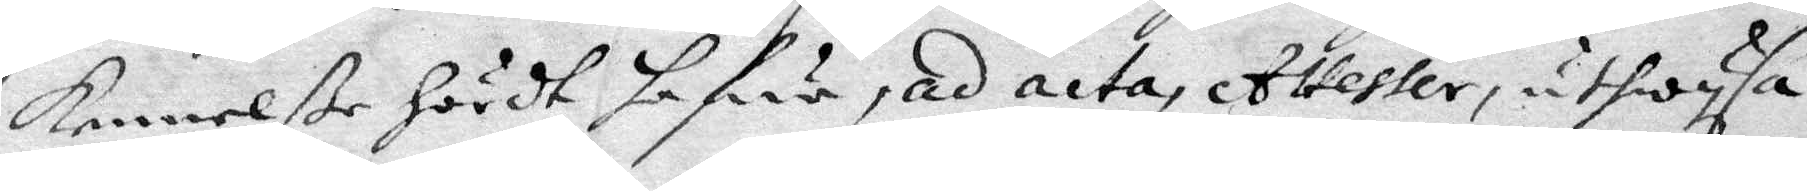kennelße hördt hafua, ad acta, Attester, uthwysa.
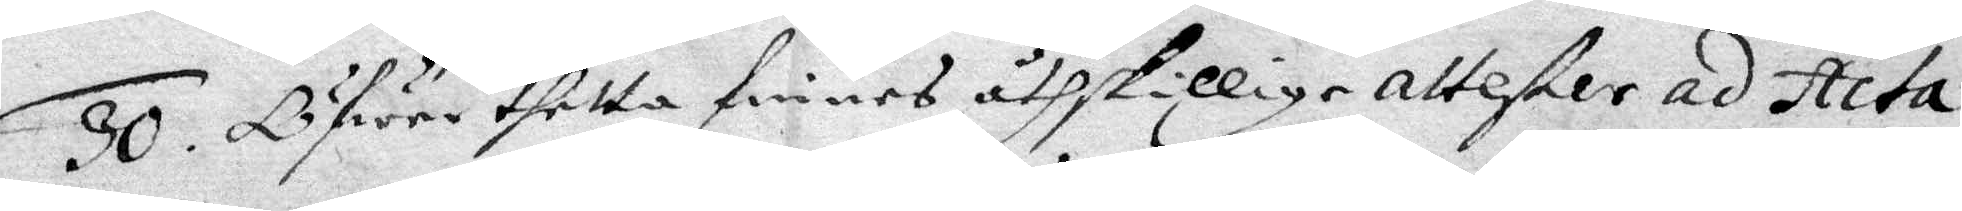30. Öfwer thetta finnea åthskillige attester ac Acta
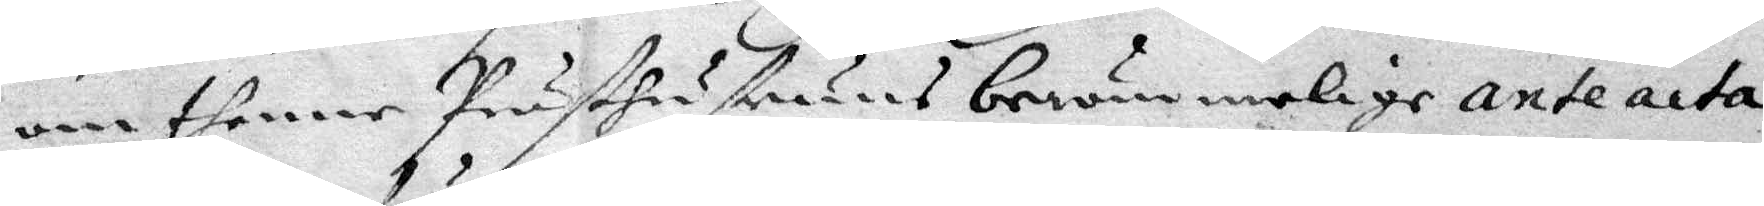om thenne Prsäthustruns berömmelige ante acta
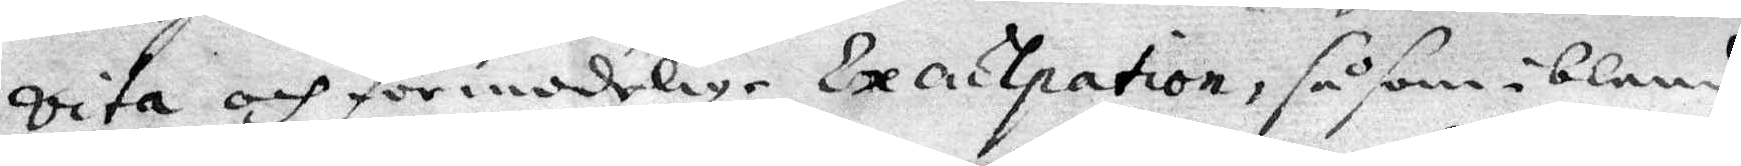vita och förmodelige Exantipation, såsom ibland
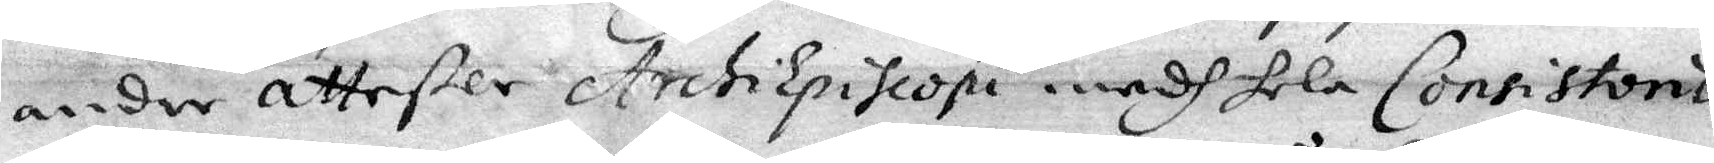andre attester Archiepiscopi medh hela Conststorio
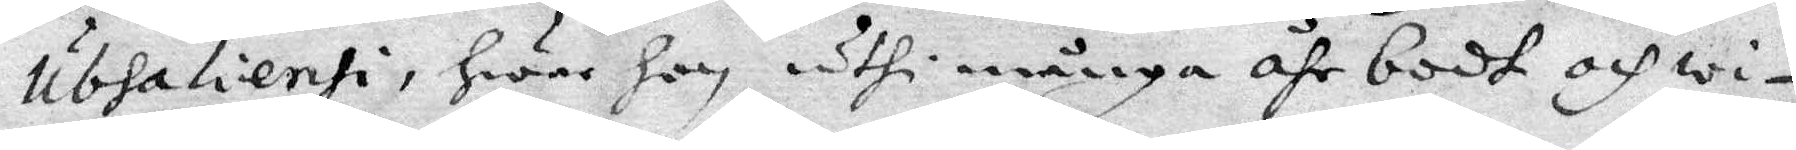ubhalienti, hwar hon, uthi många åhr bodt och wi¬
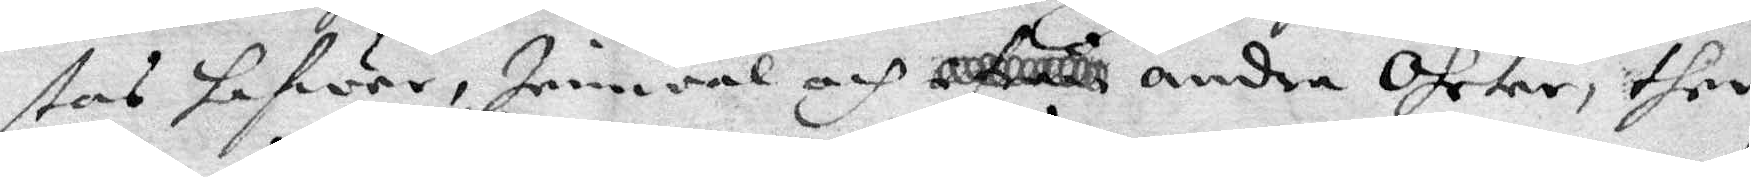tas hafwer, Iemwäl och andra Ohrter, ther
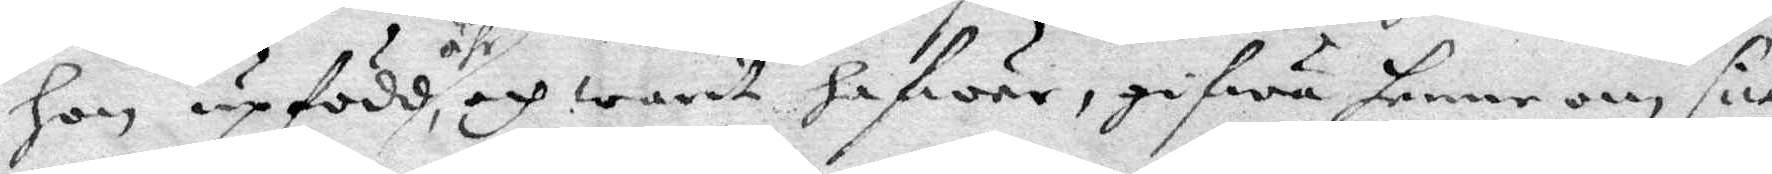hon upfödd ähr, och warit hafwer, gifwa henne om sitt
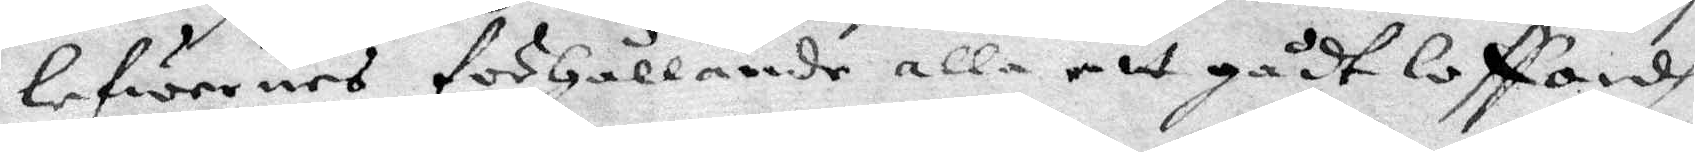lefwernes förhållande alla alt gådt loffandes.
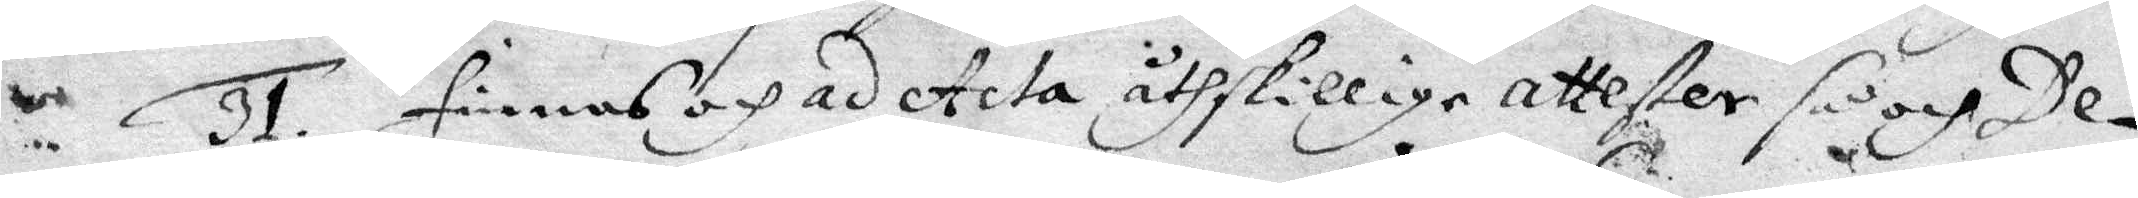31. Finnes och ad Acta åthskillige Attester så och De¬
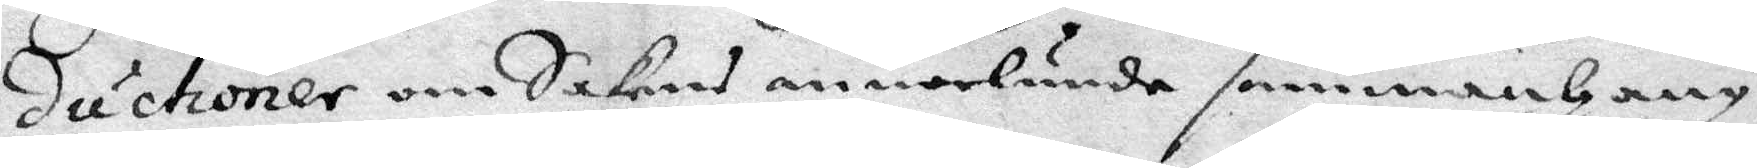ductioner om Sakens annorlunda sammanhang,
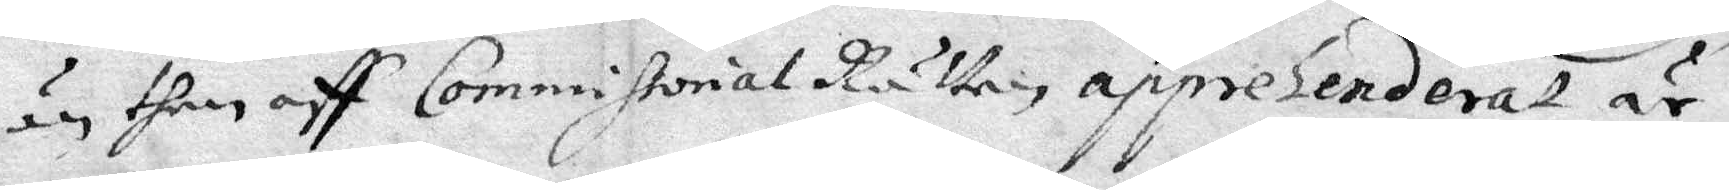an then aff Commissorial Rätten appselenderat är.
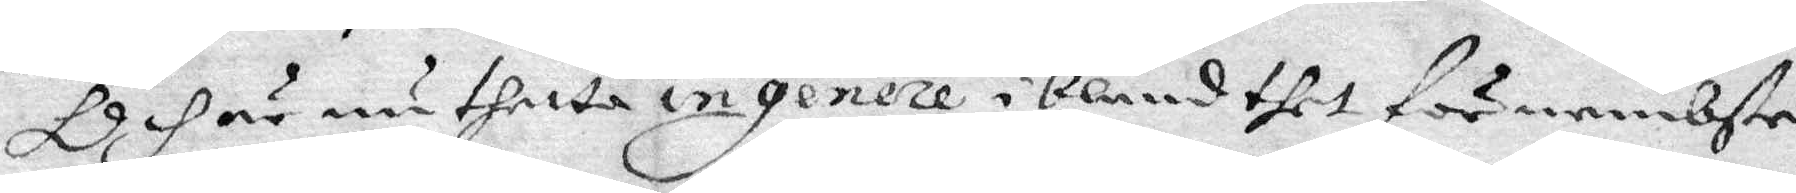Dhär nu thetta ingenere ibland thes förnembste
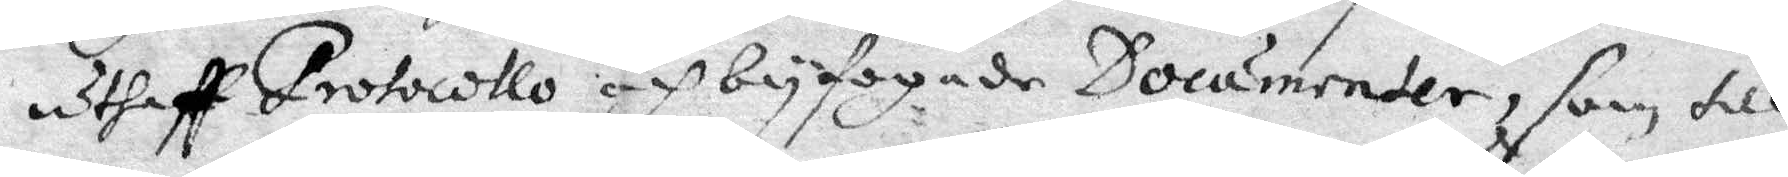uthaff Protocollo och byfogade Documenter, som till
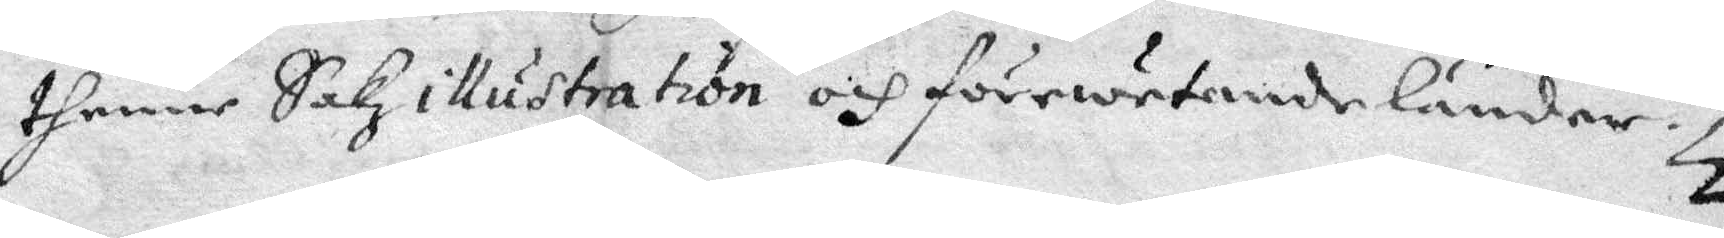thenne Sakz illustrattion och förewetande länder.
